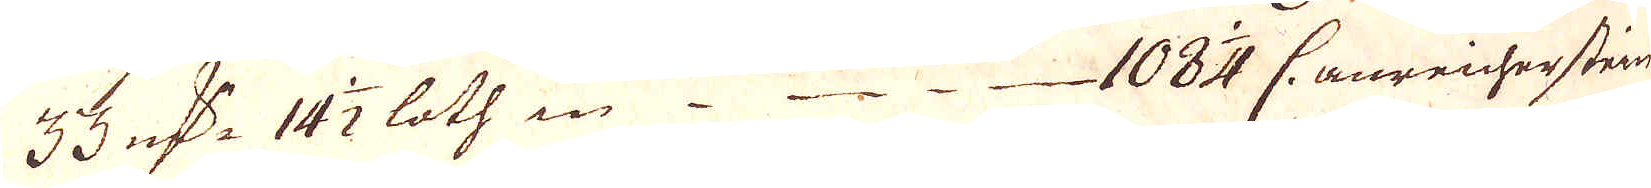33 qv:r 14 1/2 loth in 108 1/4 C. anreicherstein
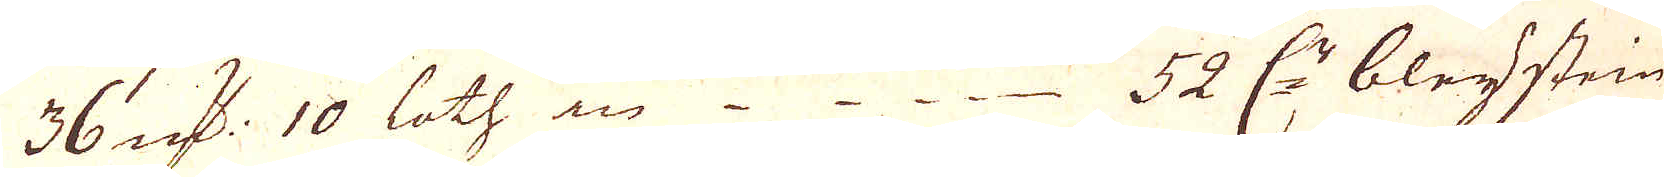36 qv:r 10 loth in 52 C:r bleijstein
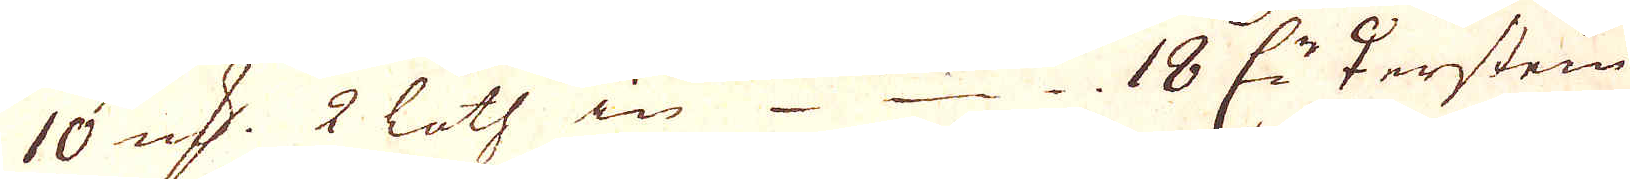10 qv:r 2 loth in 18 C:r ♀erstein
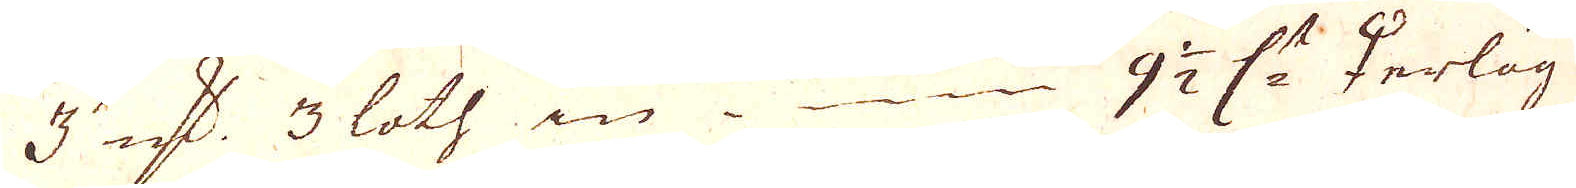3 qv:r 3 loth in 9 1/2 C:r ♀erlög
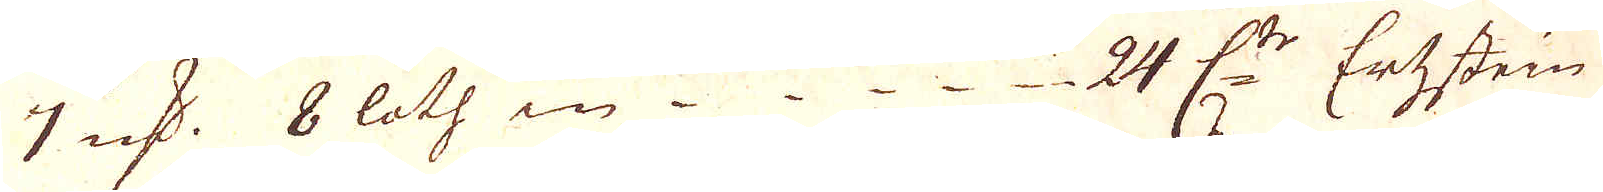7 qv:r 8 loth in 24 C:tr Ertzstein
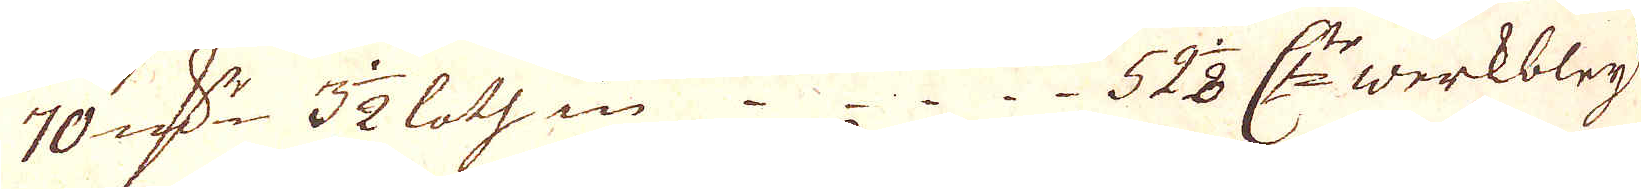70 qv:r 3 1/2 loth in 528 C:tr werkbleij
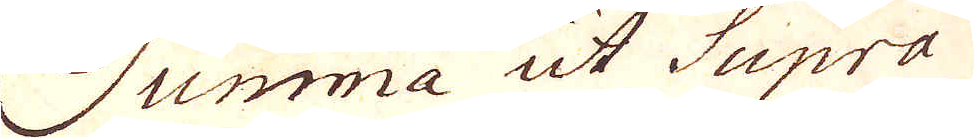Summa ut Supra
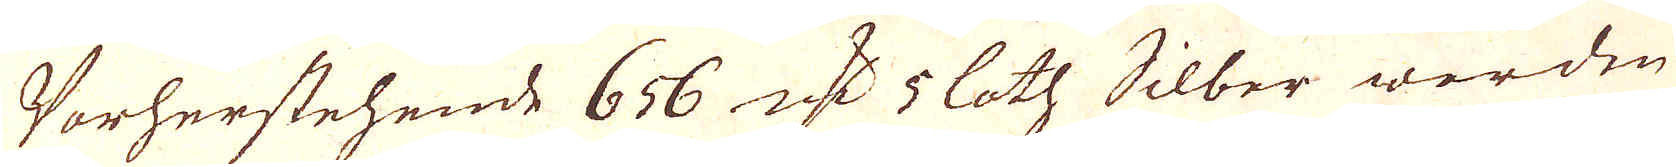Vorherstehende 656 qv:r 5 loth Silber worden
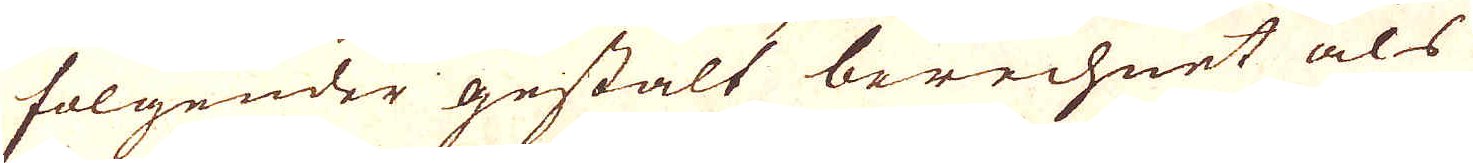folgender gestalt berechnet als
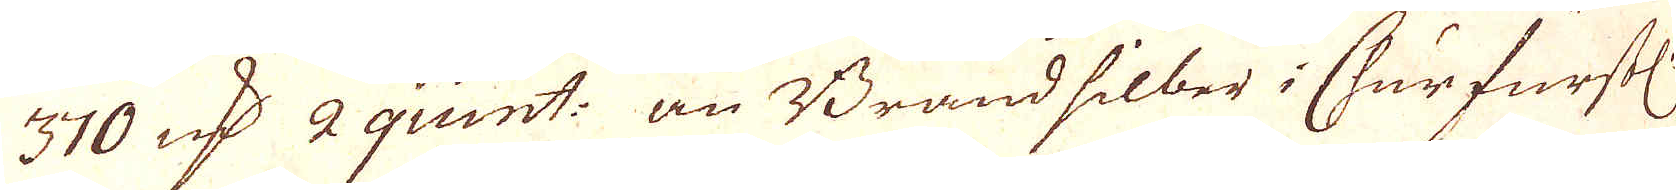370 qv:r 2 quint: an Brandsilber i Churfurst:l
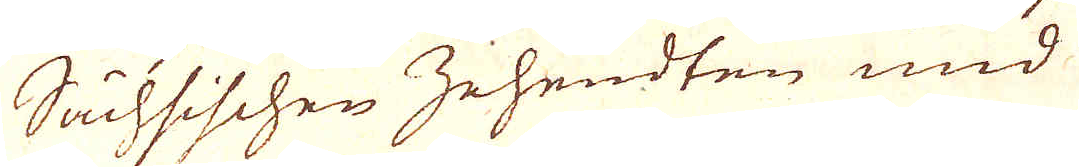Sächsischen Zehendten und
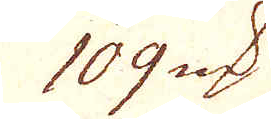109 qv:r
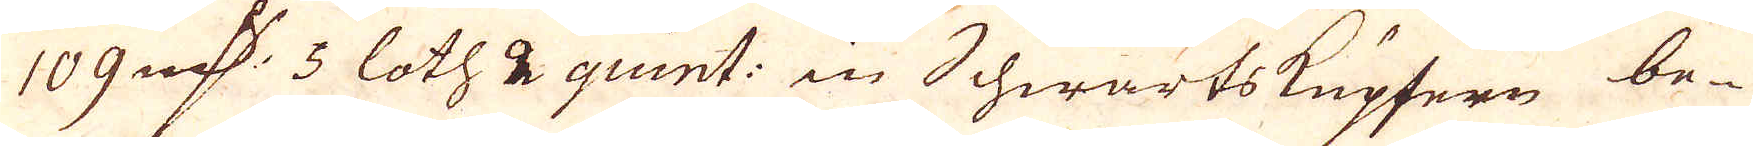109 qv:r 5 loth 2 quint: in Schwartskupfern be-
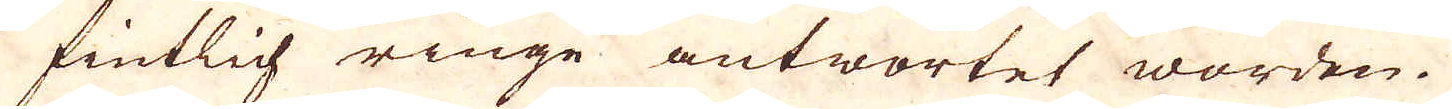fintlich ringe antwortet worden.
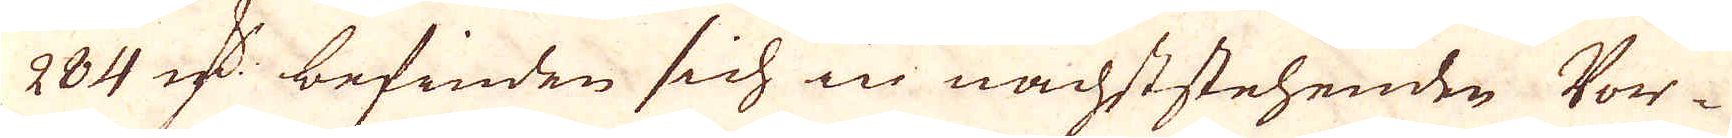284 qv:r befinden sich in nächststehenden Vor-
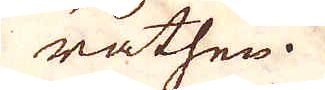räthen.
